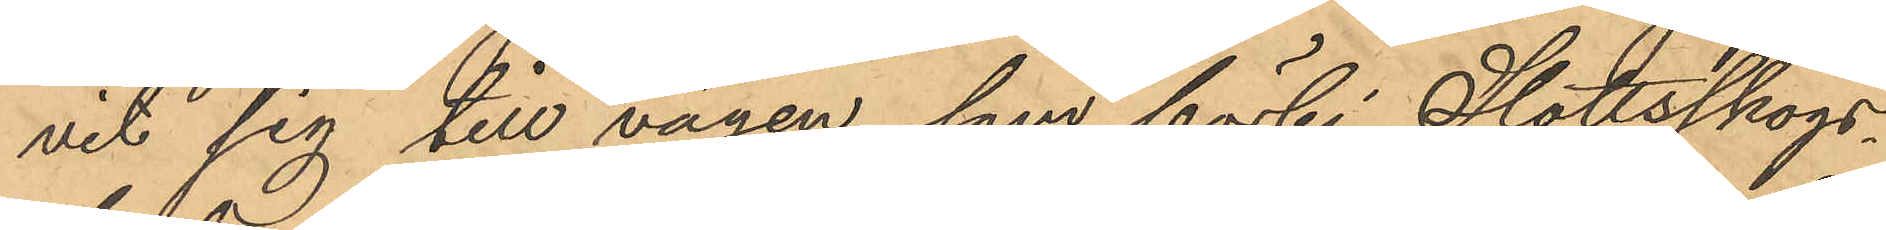vit sig till vägen, som förbi Slottsskogs¬
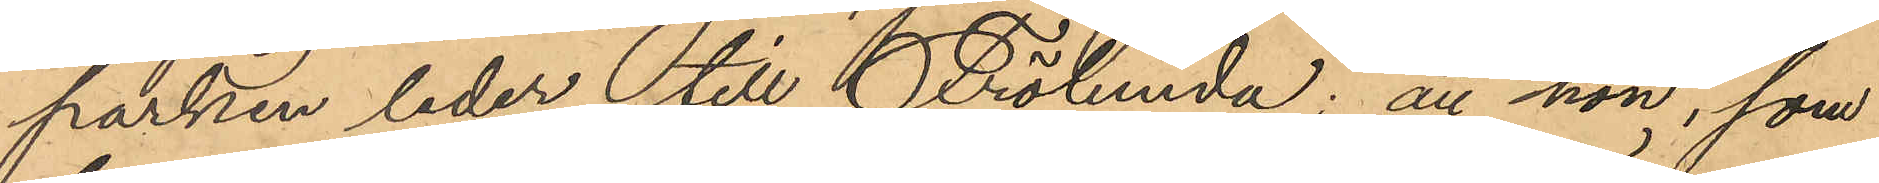parken leder till Frölunda; att hon, som
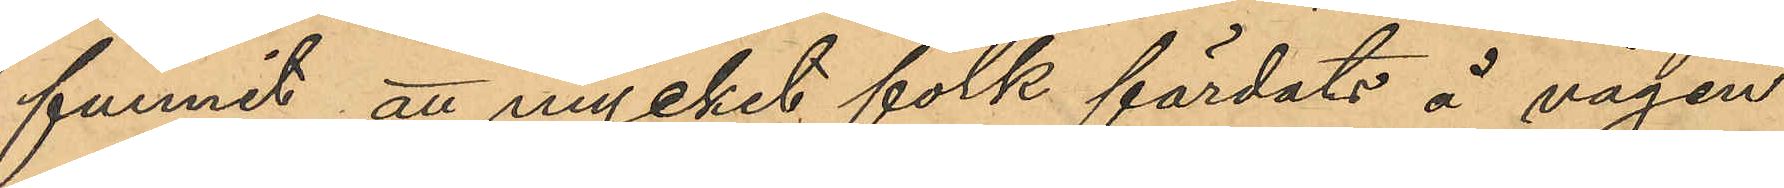funnit att mycket folk färdats å vägen
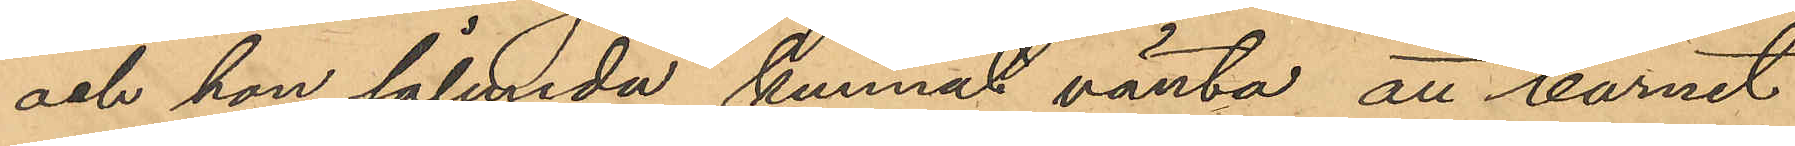och hon sålunda kunnat vänta att barnet
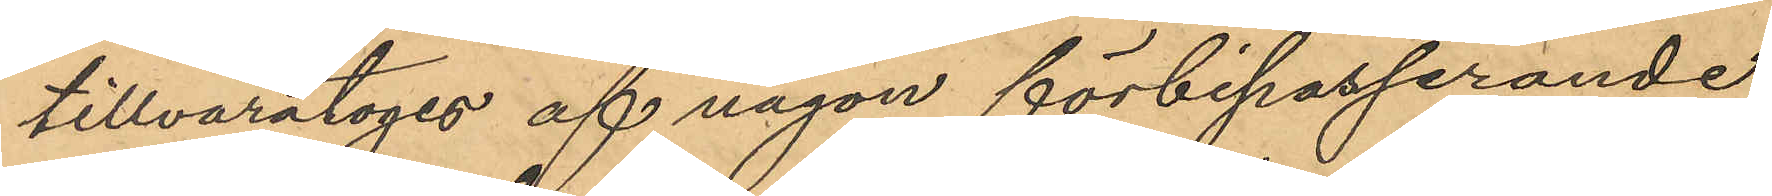tillvaratoges af någon förbipasserande,
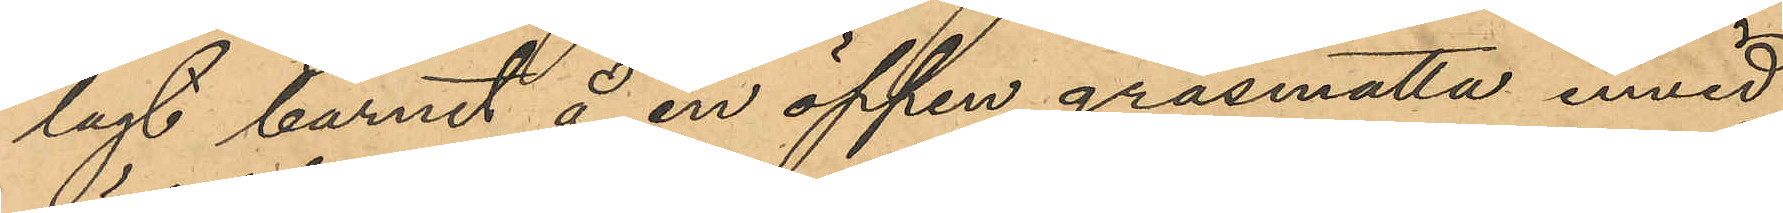lagt barnet å en öppen gräsmatta invid
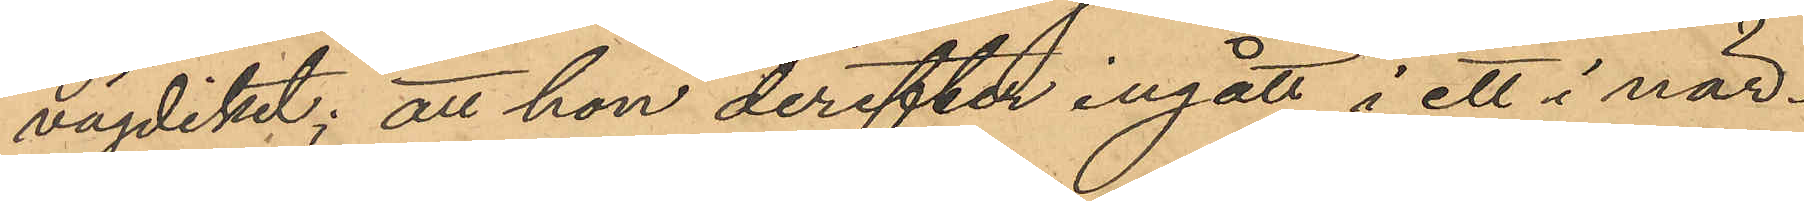vägdiket; att hon derefter ingått i ett i när¬
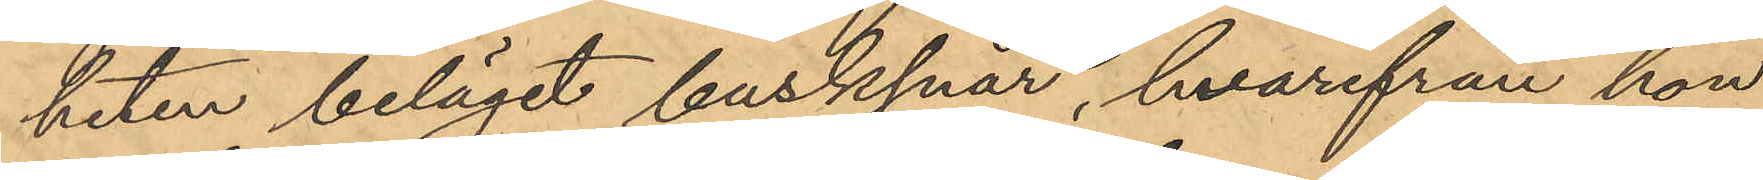heten beläget busksnår, hvarifrån hon
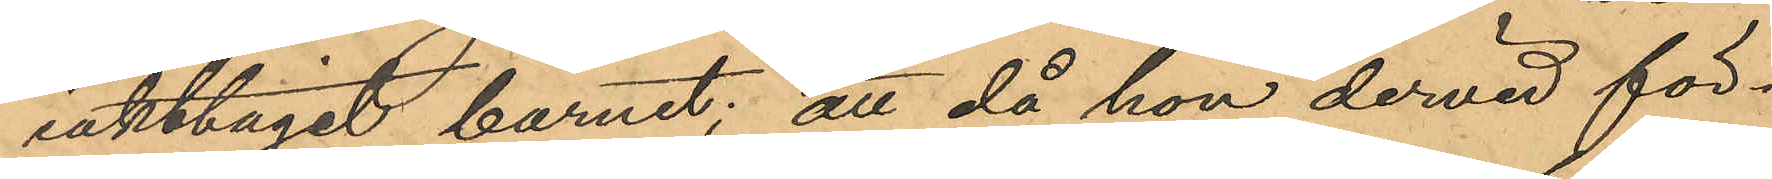iakttagit barnet; att då hon dervid för¬
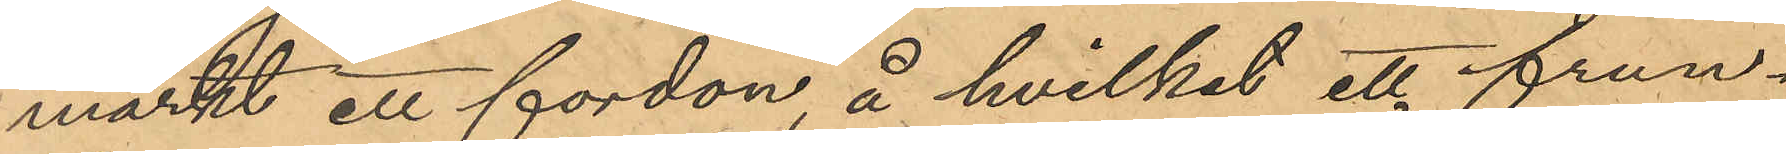märkt ett fordon, å hvilket ett frun¬
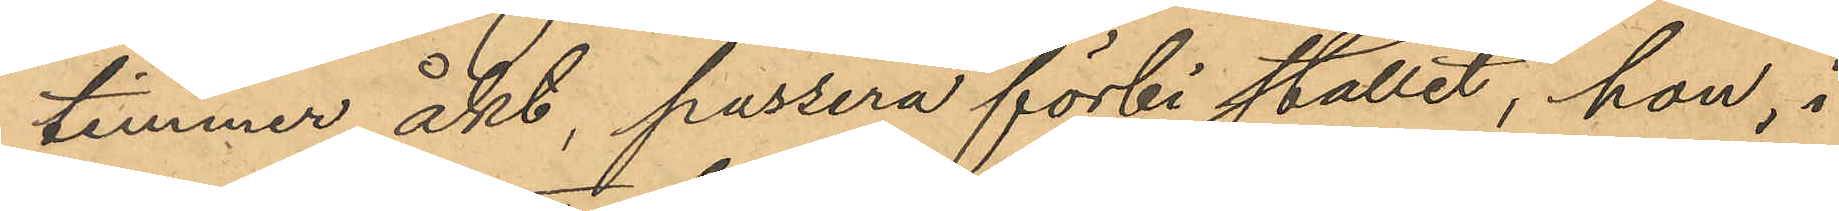timmer åkt, passera förbi stället, hon, i
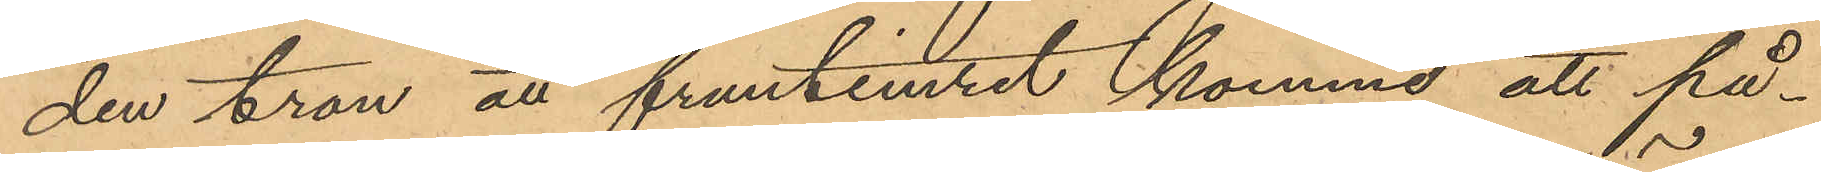den tron att fruntimret komme att på¬
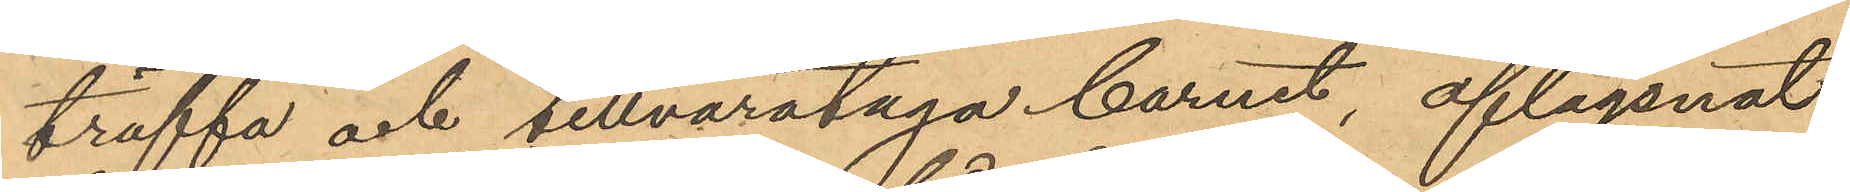träffa och tillvarataga barnet, aflägsnat
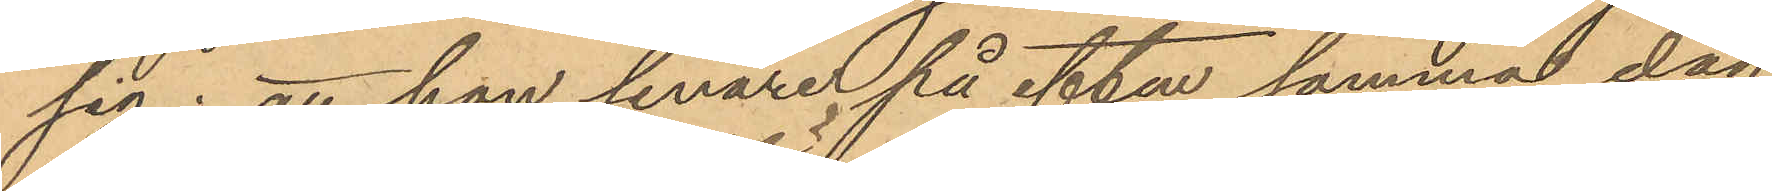sig; att hon senare på eftm samma dag
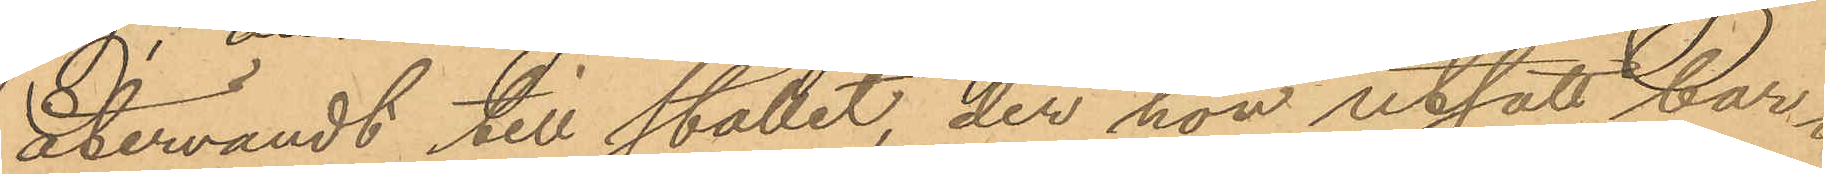återvändt till stället, der hon utsatt bar¬
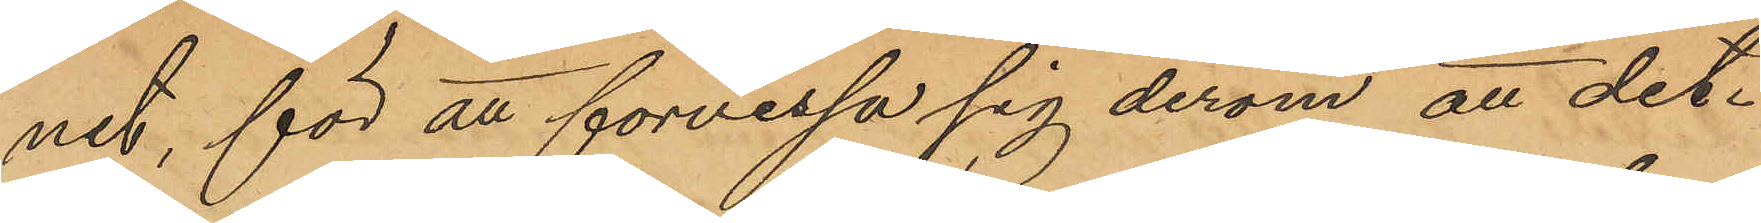net, för att förvissa sig derom att det¬
